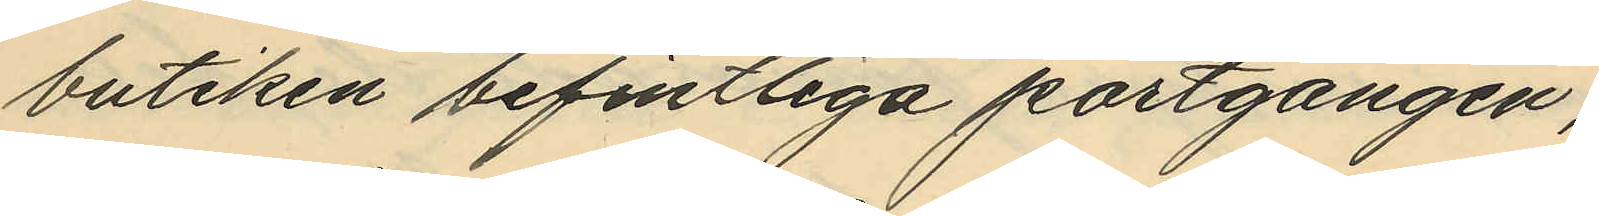butiken befintliga portgången;
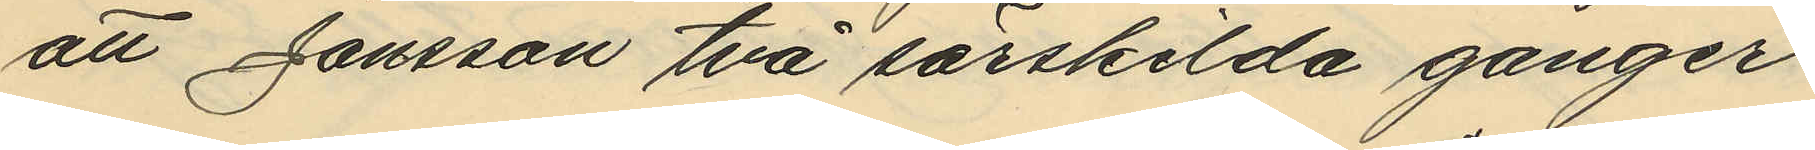att Jonsson två särskilda gånger
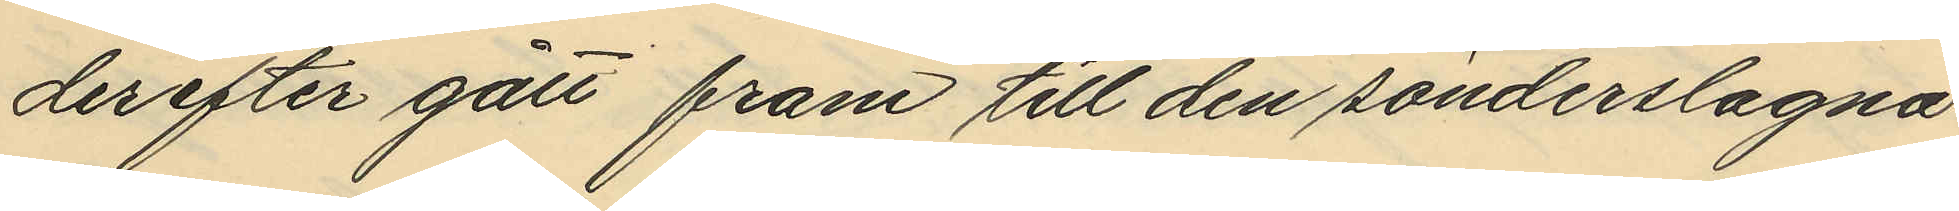derefter gått fram till den sönderslagna
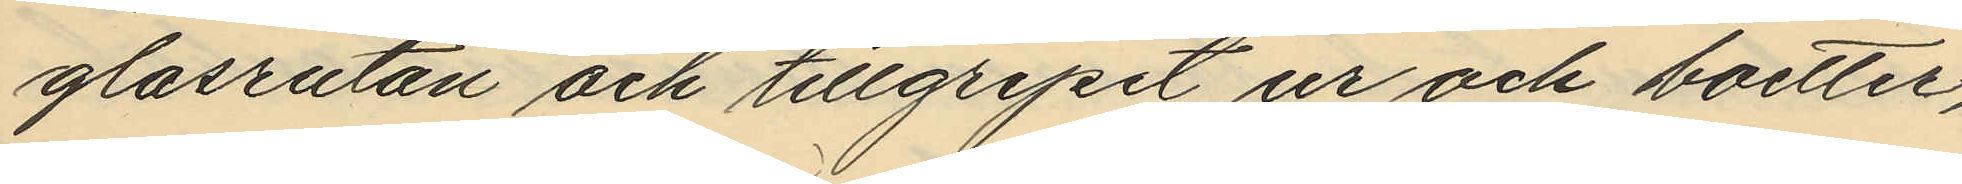glasrutan och tillgripit ur och boetter,
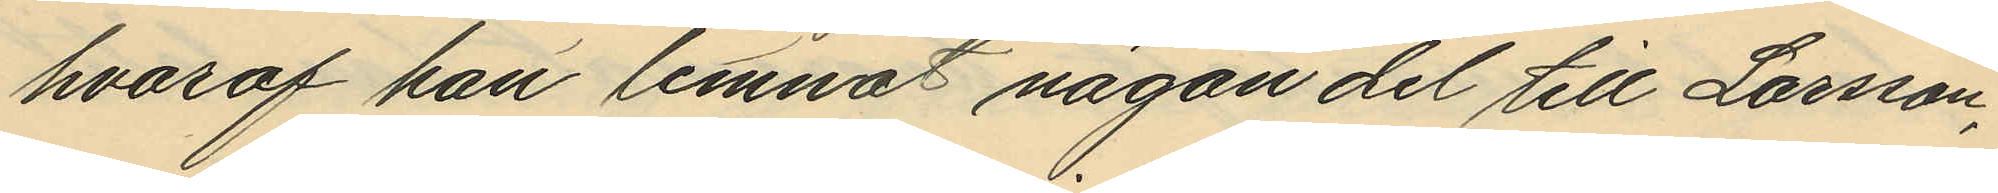hvaraf han lemnat någon del till Larsson,
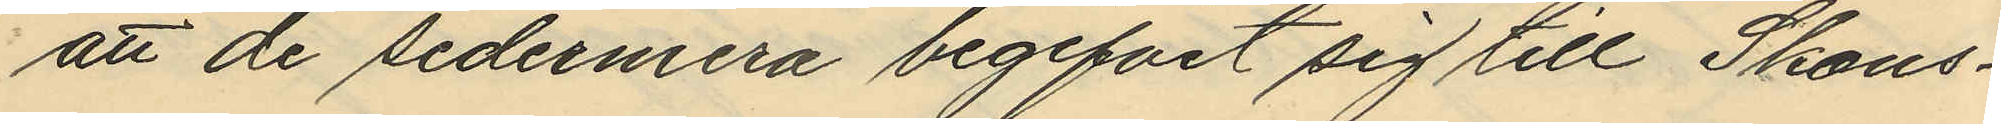att de sedermera begifvit sig till Skans¬
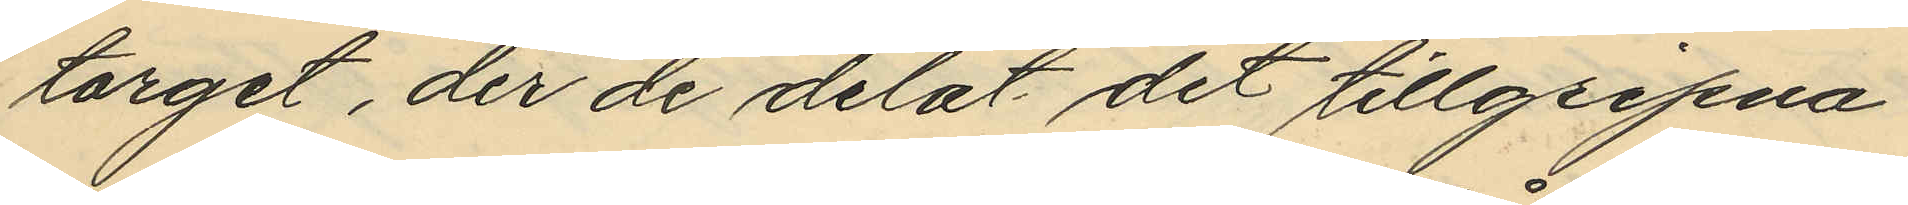torget, der de delat det tillgripna
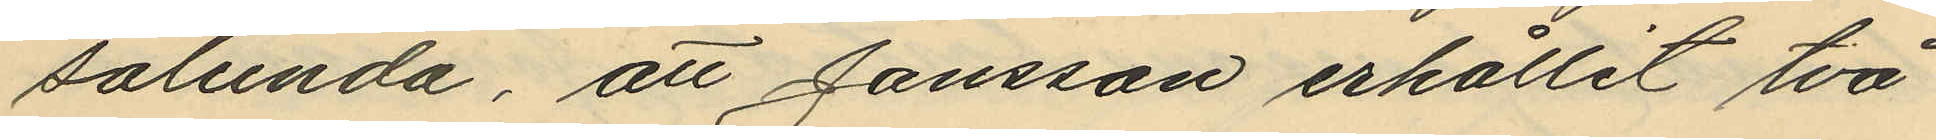sålunda, att Jonsson erhållit två
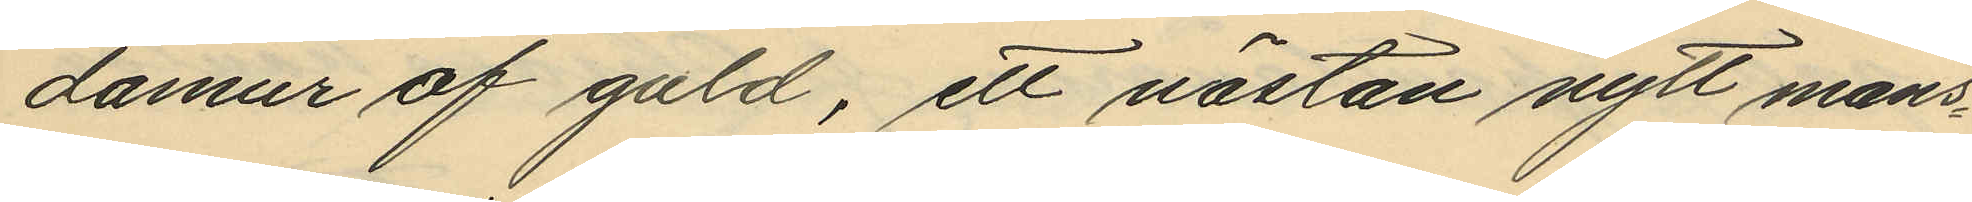damur af guld, ett nästan nytt mans¬
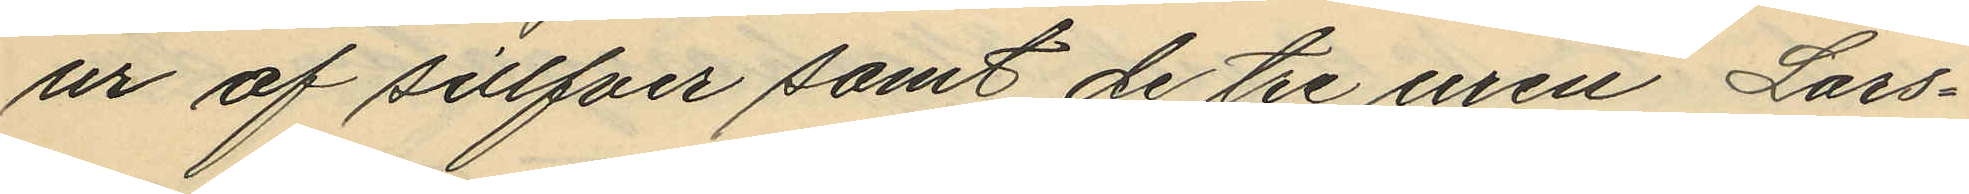ur af sillfver samt de tre uren Lars¬
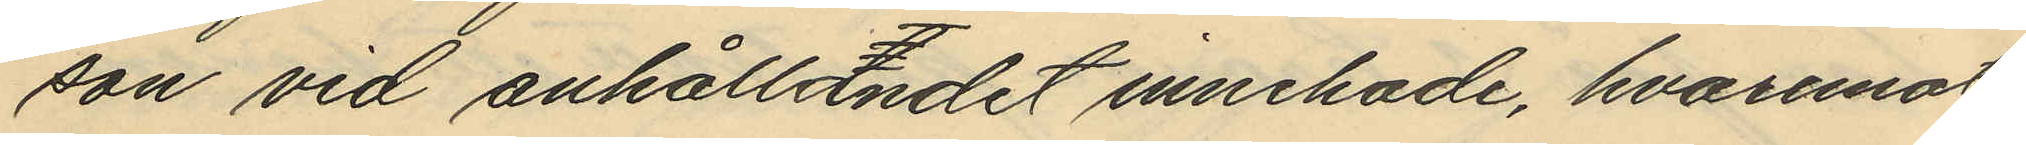son vid anhållandet innehade, hvaremot
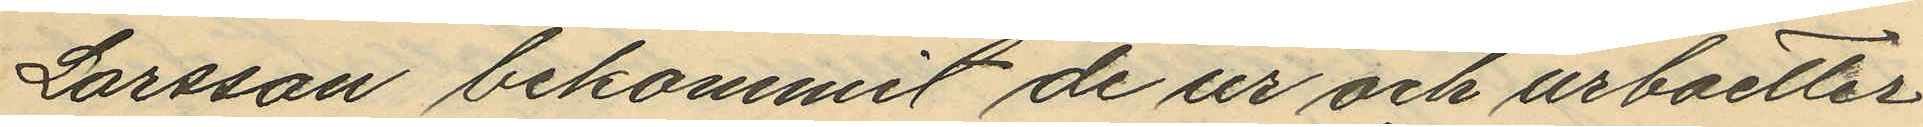Larsson bekommit de ur och urboetter
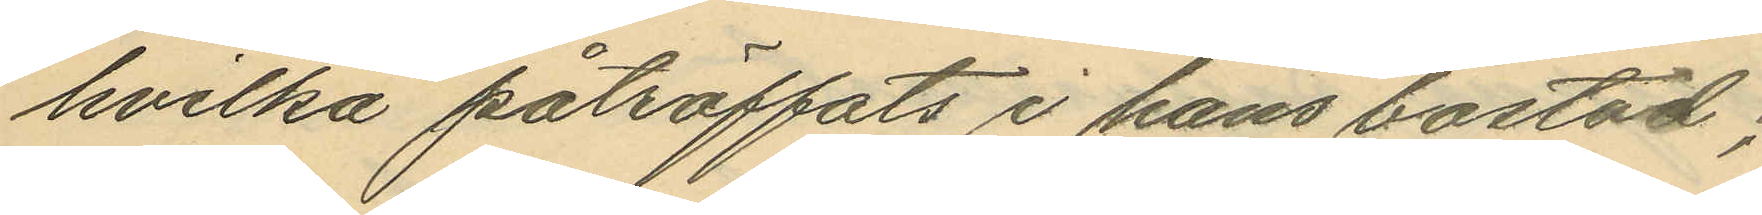hvilka påträffats i hans bostad;
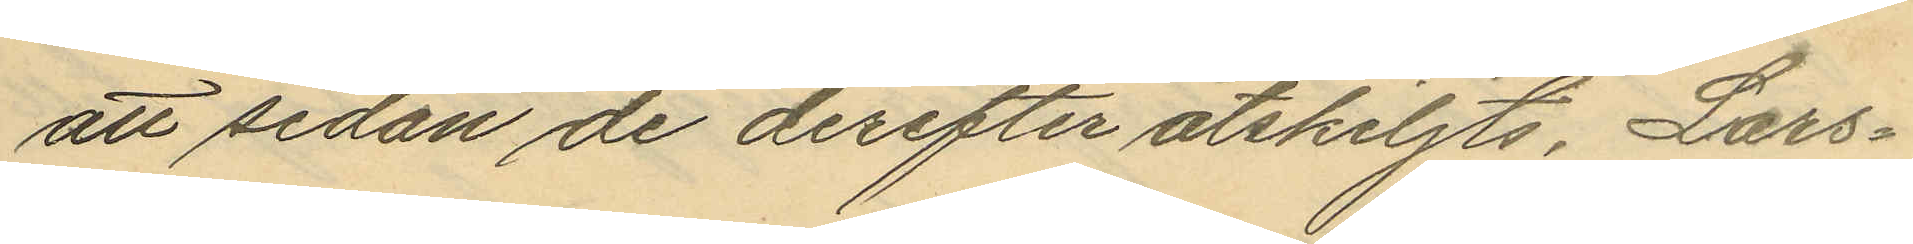att sedan de derefter åtskiljts, Lars¬
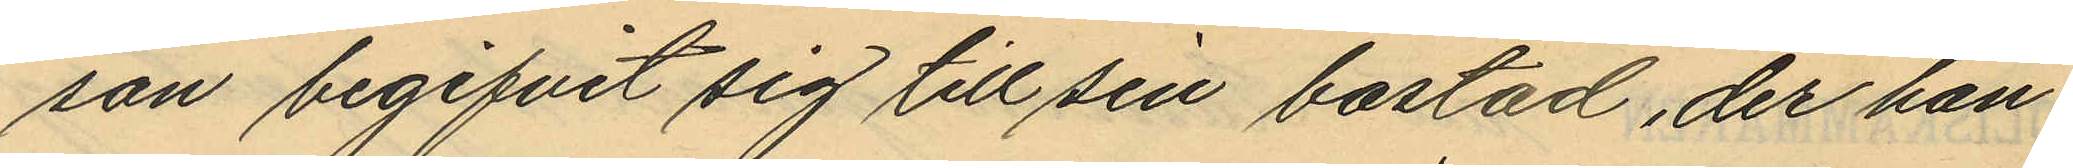son begifvit sig till sin bostad, der han
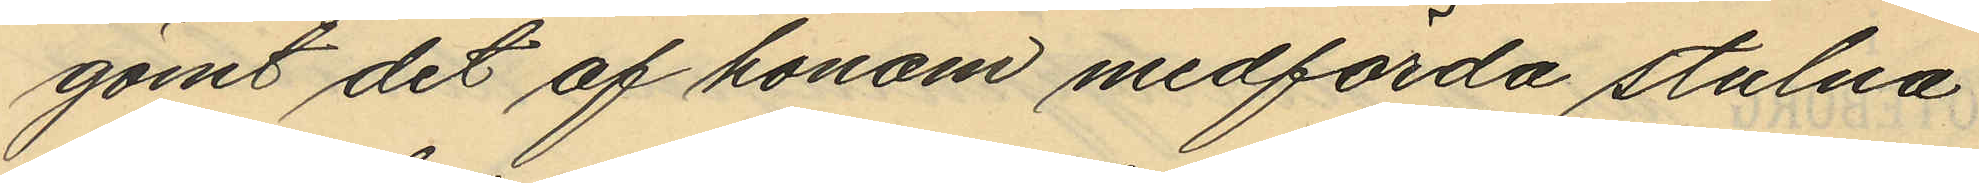gömt det af honom medförda stulna
